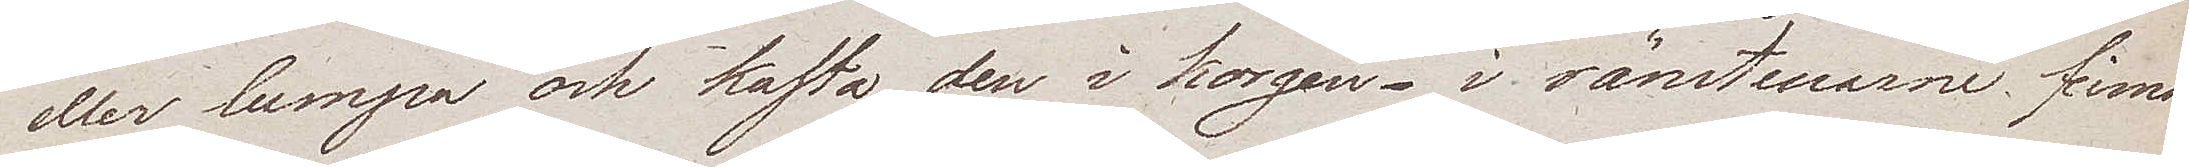eller lumpa och kasta den i korgen – i ränstenarne finna
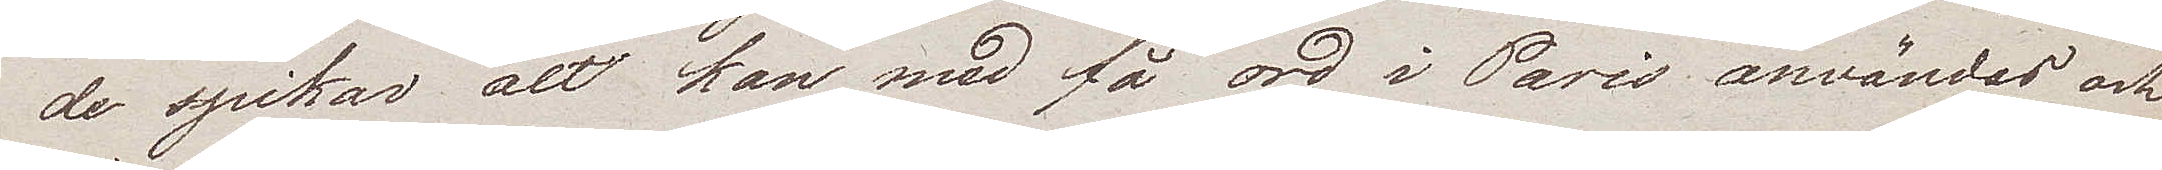de spikar alt kan med få ord i Paris användas och
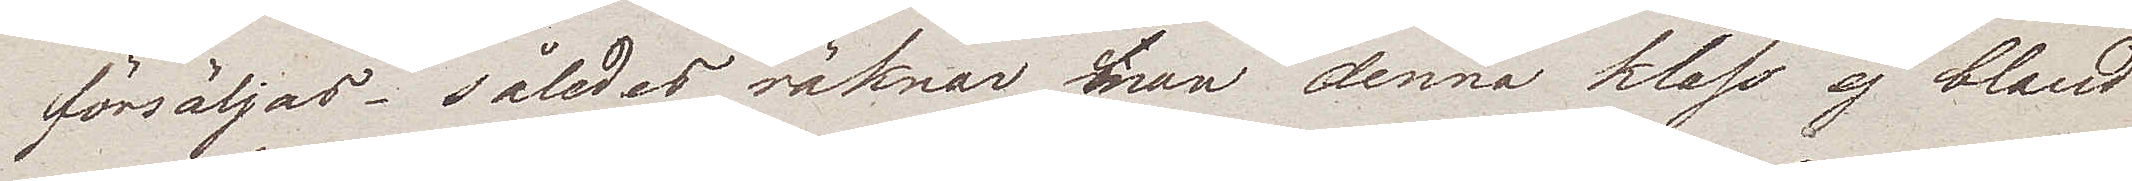försäljas – således räknar man denna klass ej bland
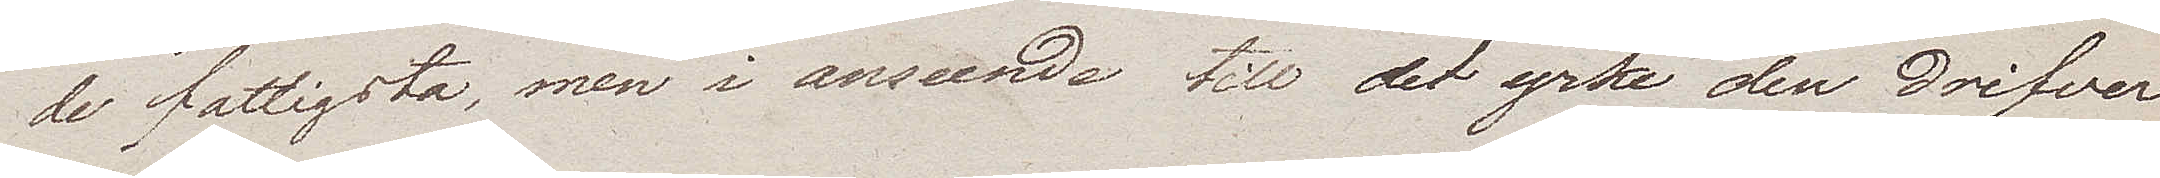de fattigsta, men i anseende till det yrke den drifver
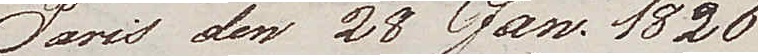Paris den 28 Jan. 1826
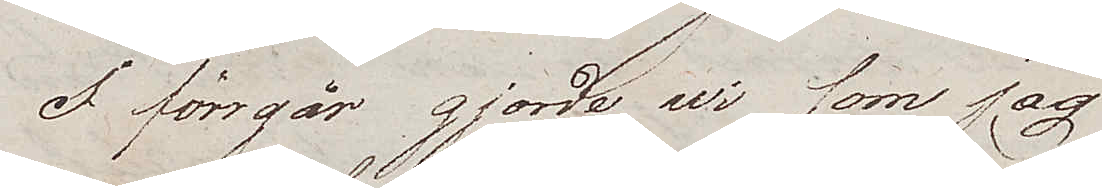I förrgår gjorde wi som jag
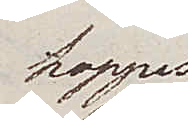hoppas
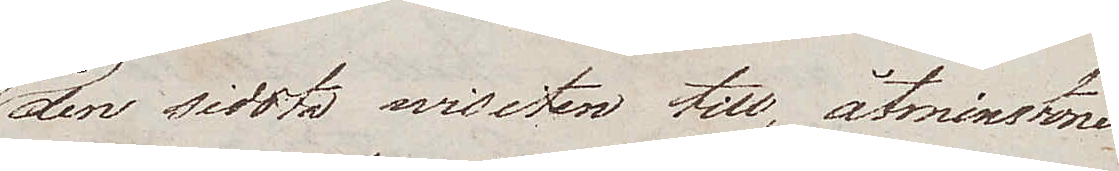den sidsta wisiten till, åtminstone
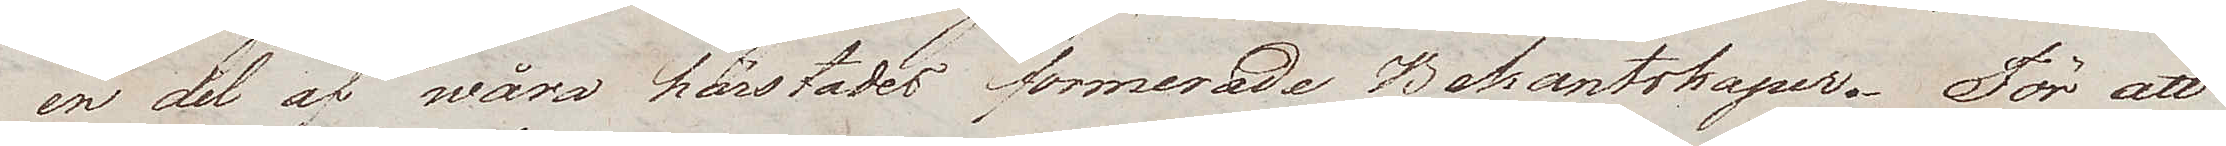en del af wåra härstädes formerade Bekantskaper. För att
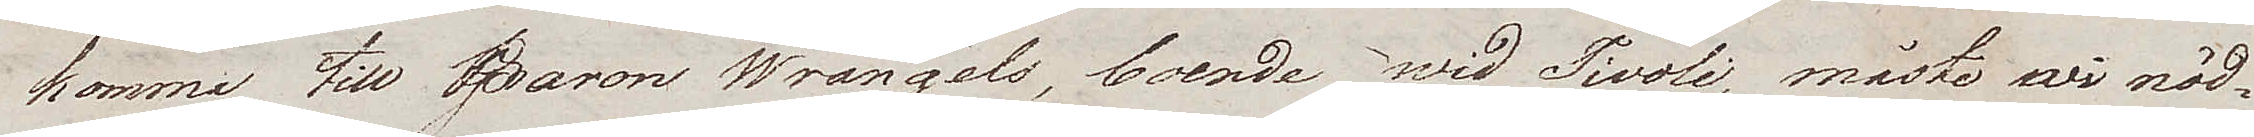komma till Baron Wrangels, boende wid Tivoli, måste wi nöd¬
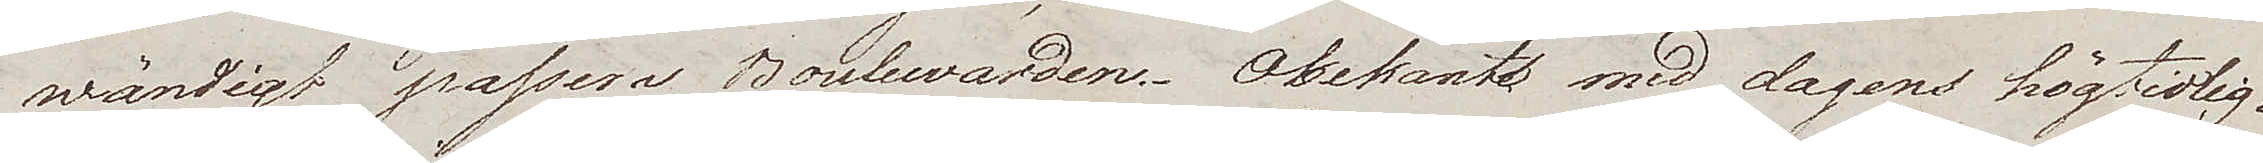wändigt passera Boulewarden. Obekant med dagens högtidlig¬
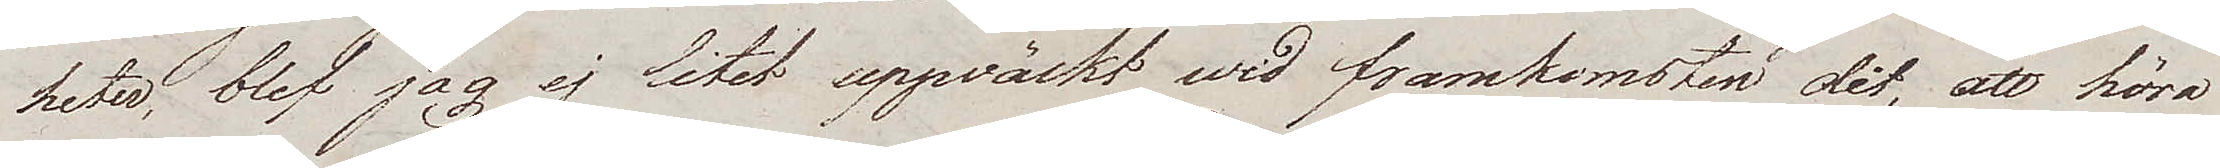heter, blef jag ej litet uppväckt wid framkomsten dit, att höra
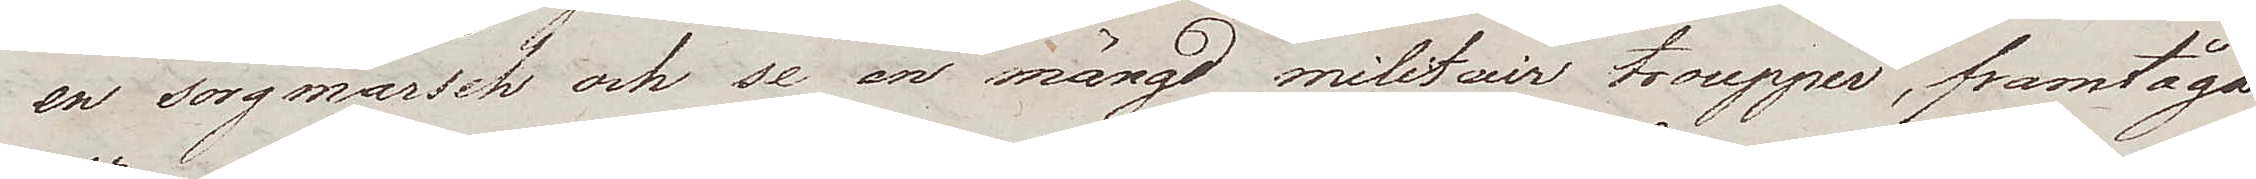en sorgmarsch och se en mängd militair troupper, framtåga
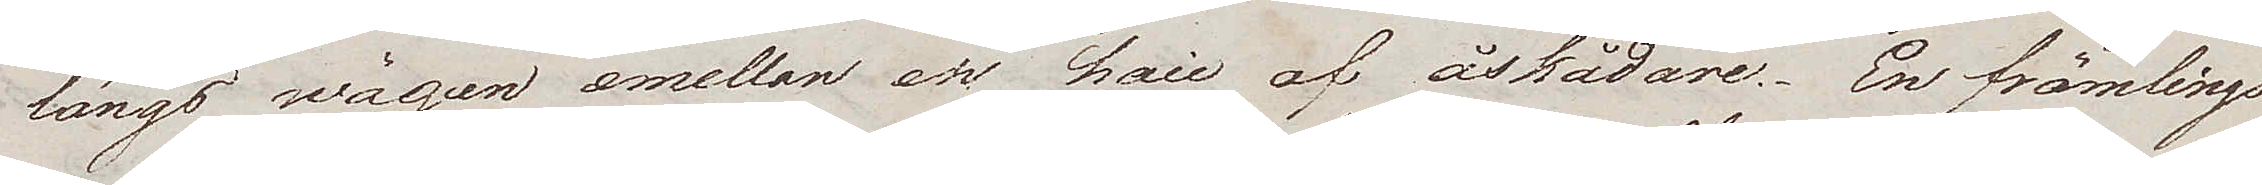längs wägen emellan en haie af åskådare. En främlings
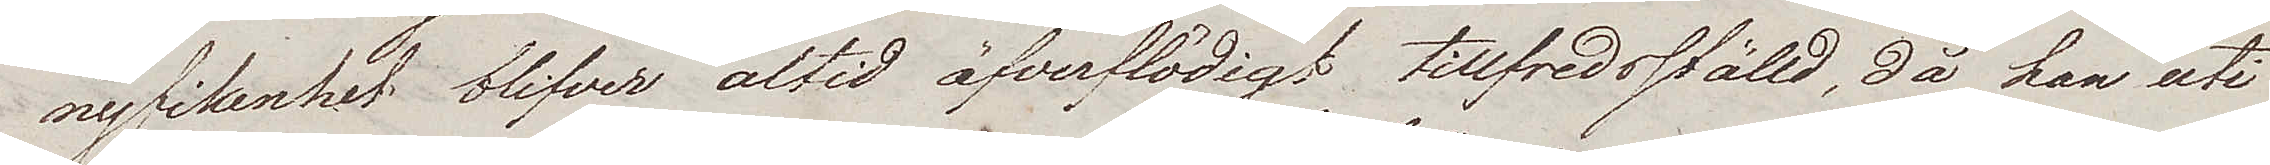nyfikenhet blifver altid öfverflödigt tillfredsställd, då han uti
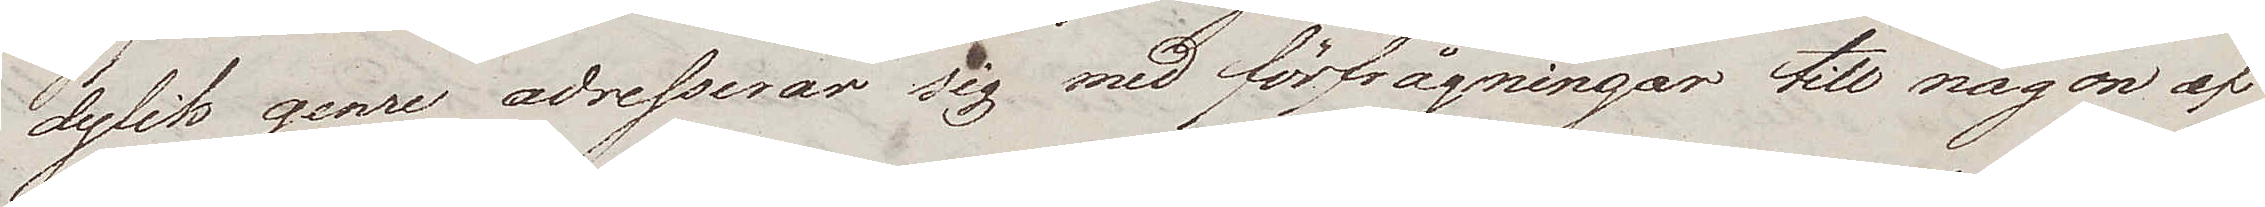dylik genre adresserar sig med förfrågningar till någon af
